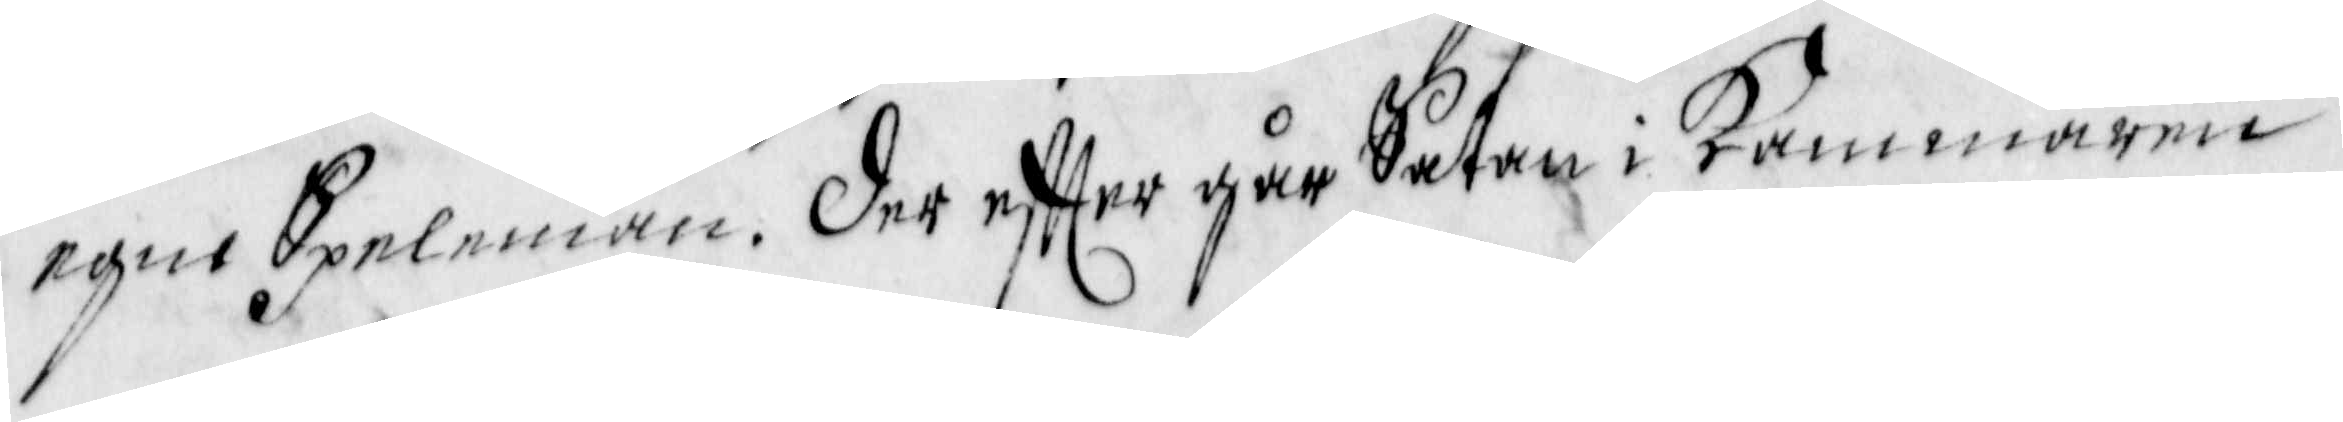egne Spelemän. Der effter går Satan i Kammaren
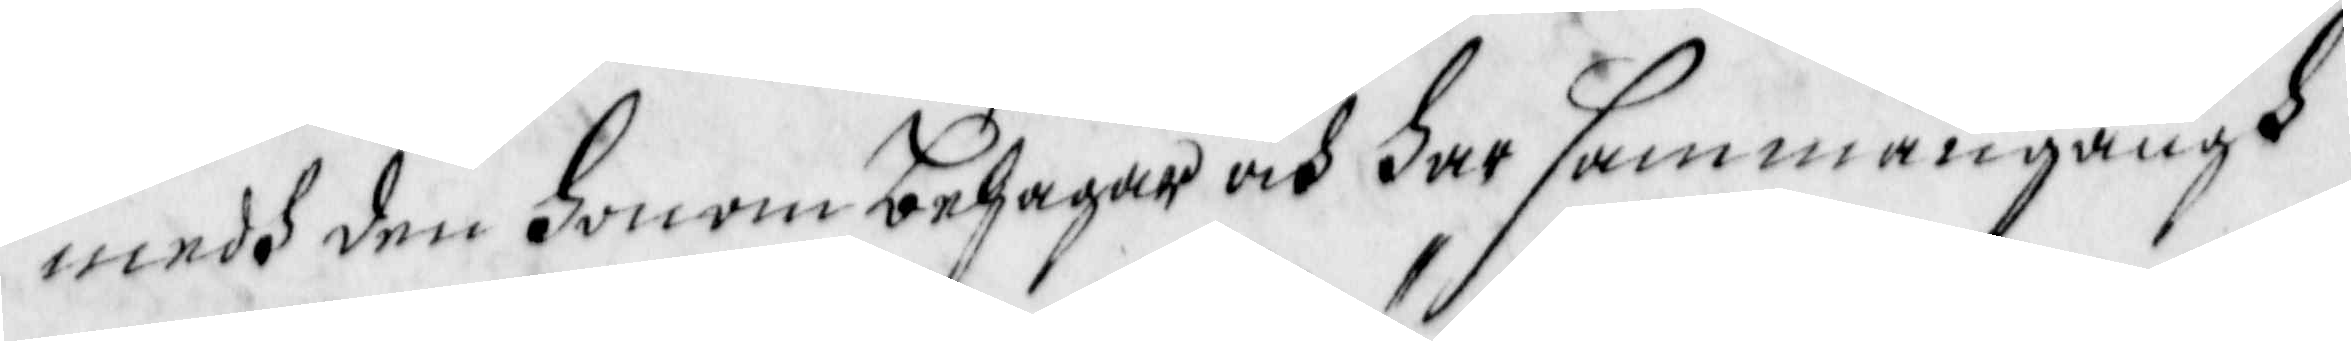medh den honom behagar och har sammangångh
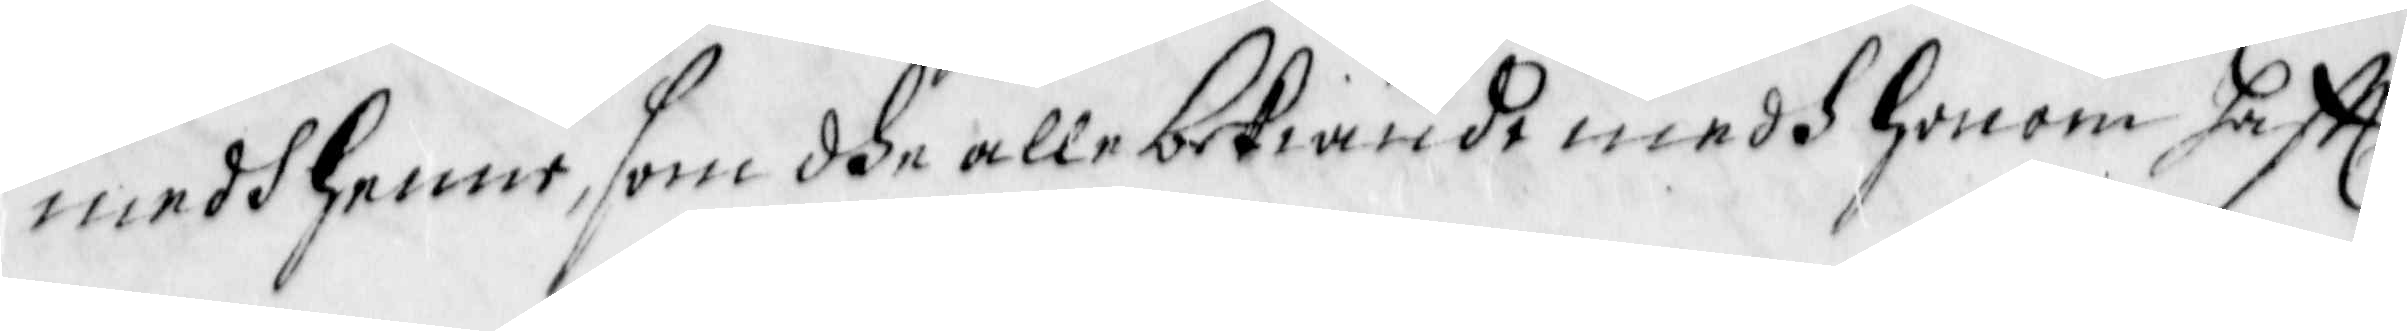medh henne, som dhe alle bekiende medh honom hafft
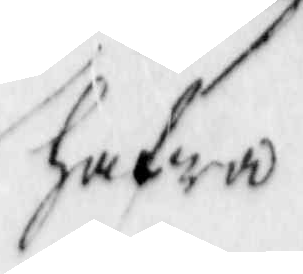hafwa
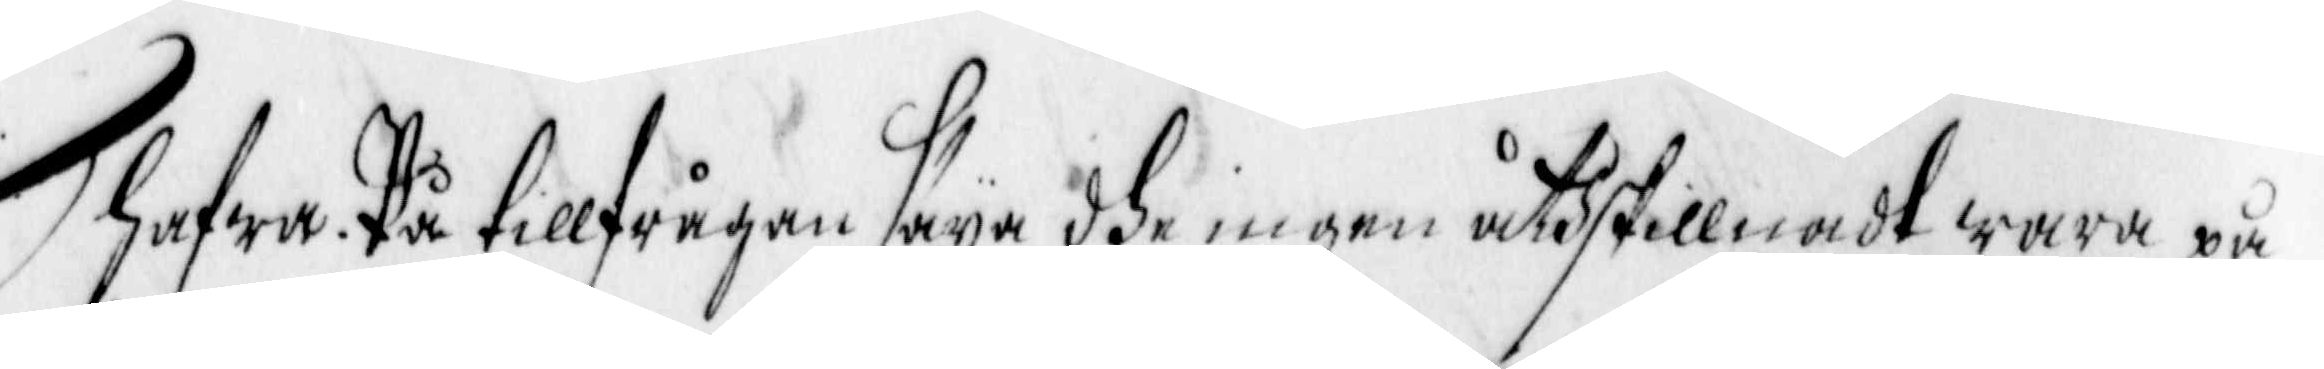Hafwa. På tillfrågan säya dhe ingen åthskillnadt wara på
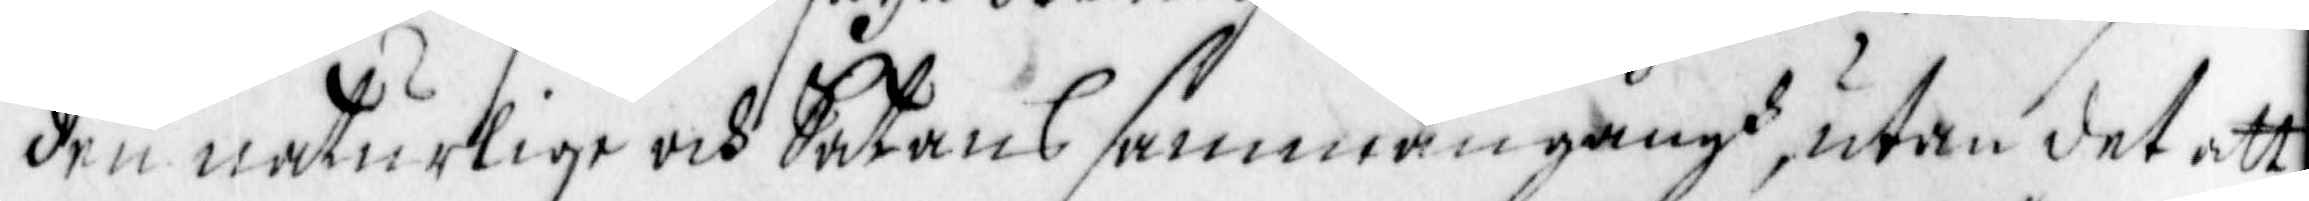den naturlige och Satans sammangångh, utan det att
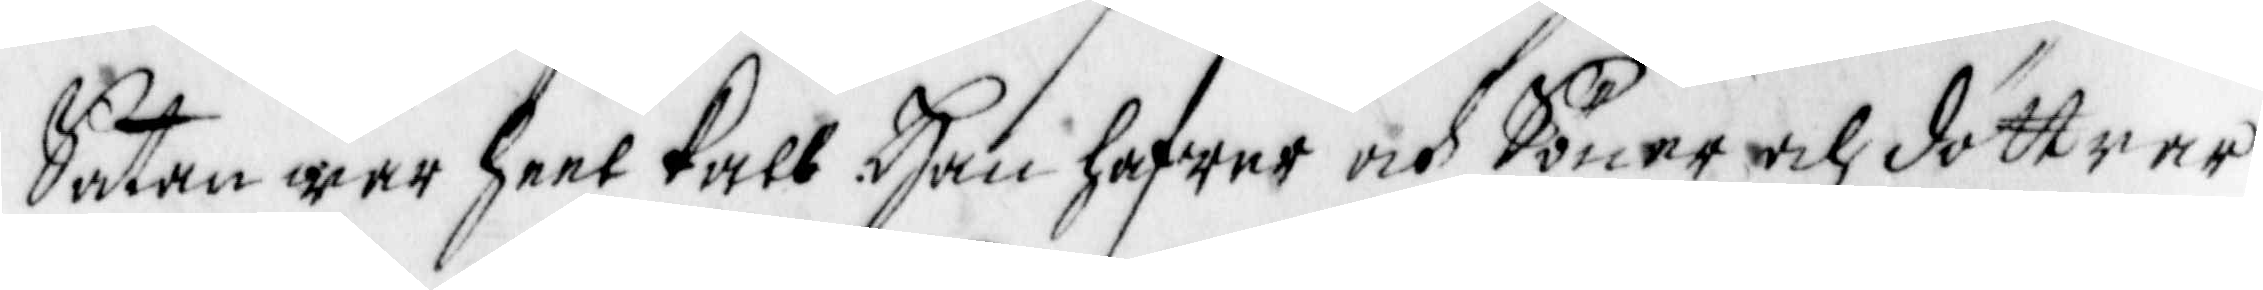Saten war heel kalh. Han hafwer och Söner och döttrer
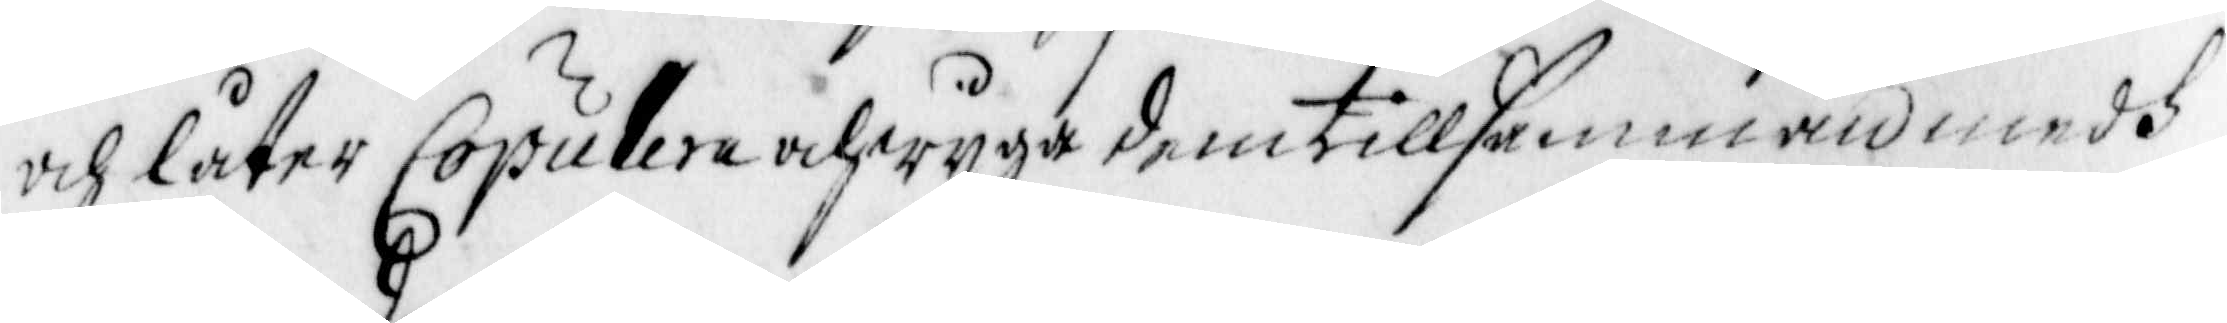och låter Copulera och wyga dem tillsamman medh
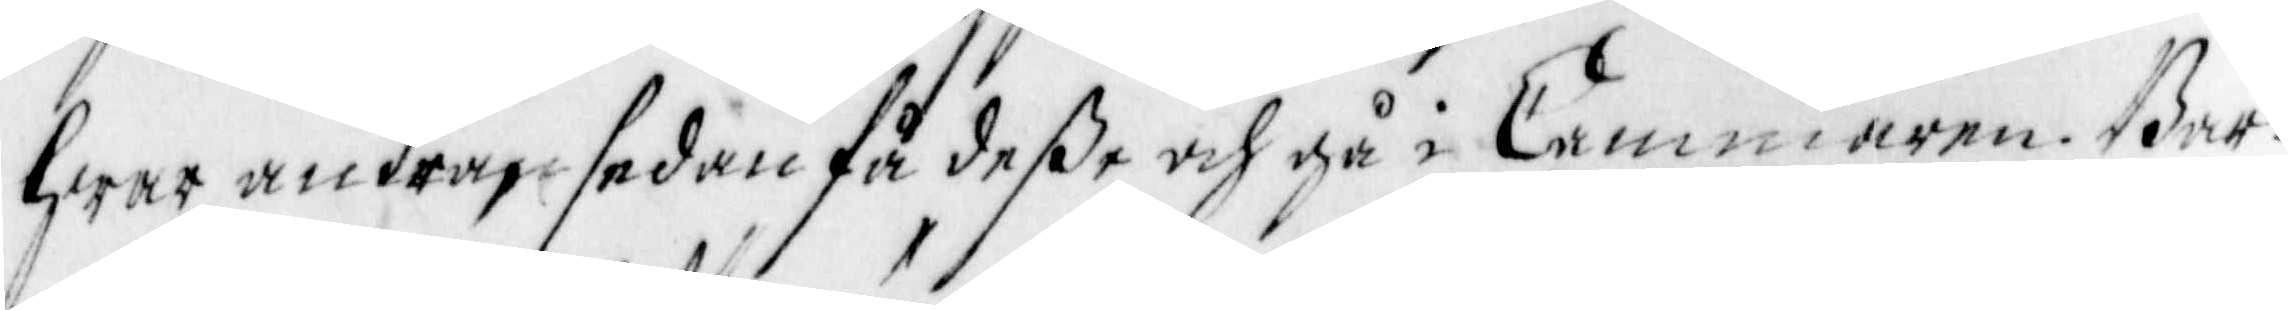Hwar andra, sedan få deße och gå i Cammaren. Bar¬
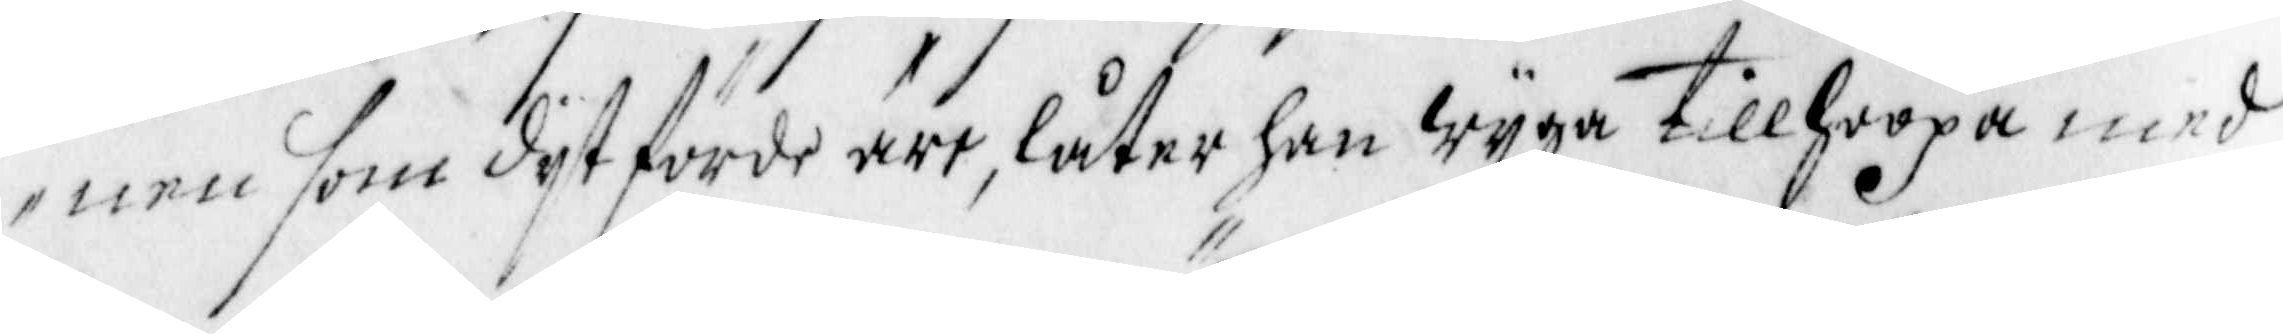nen som dijt förde äre, låter han wijga tillhoopa med
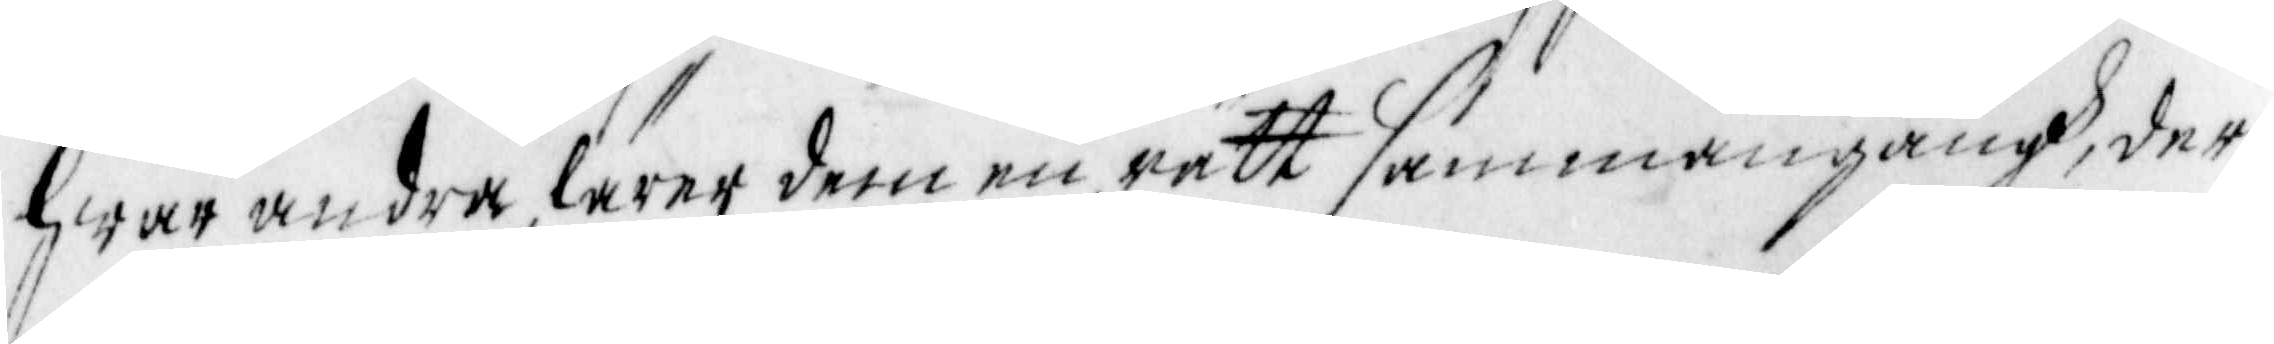Hwar andra, lärer dem en rätt sammangångh, der
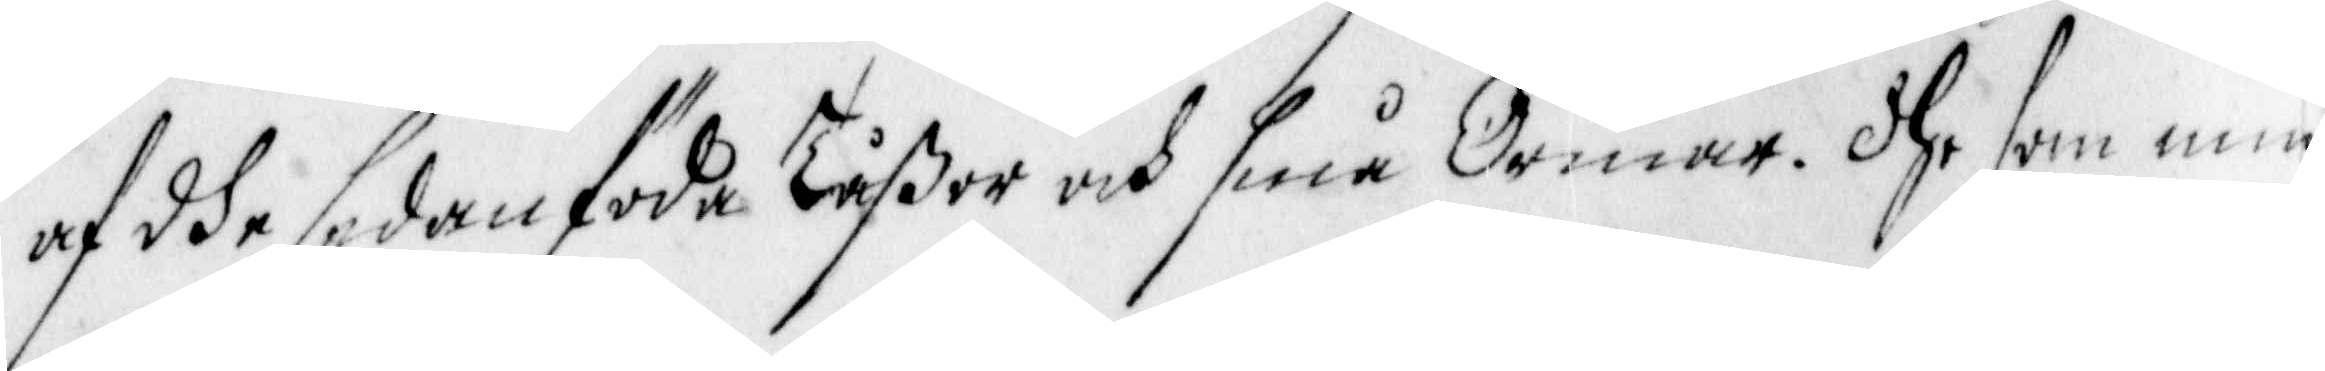af dhe sedan föda tåßor och små Ormar. dhe som min¬
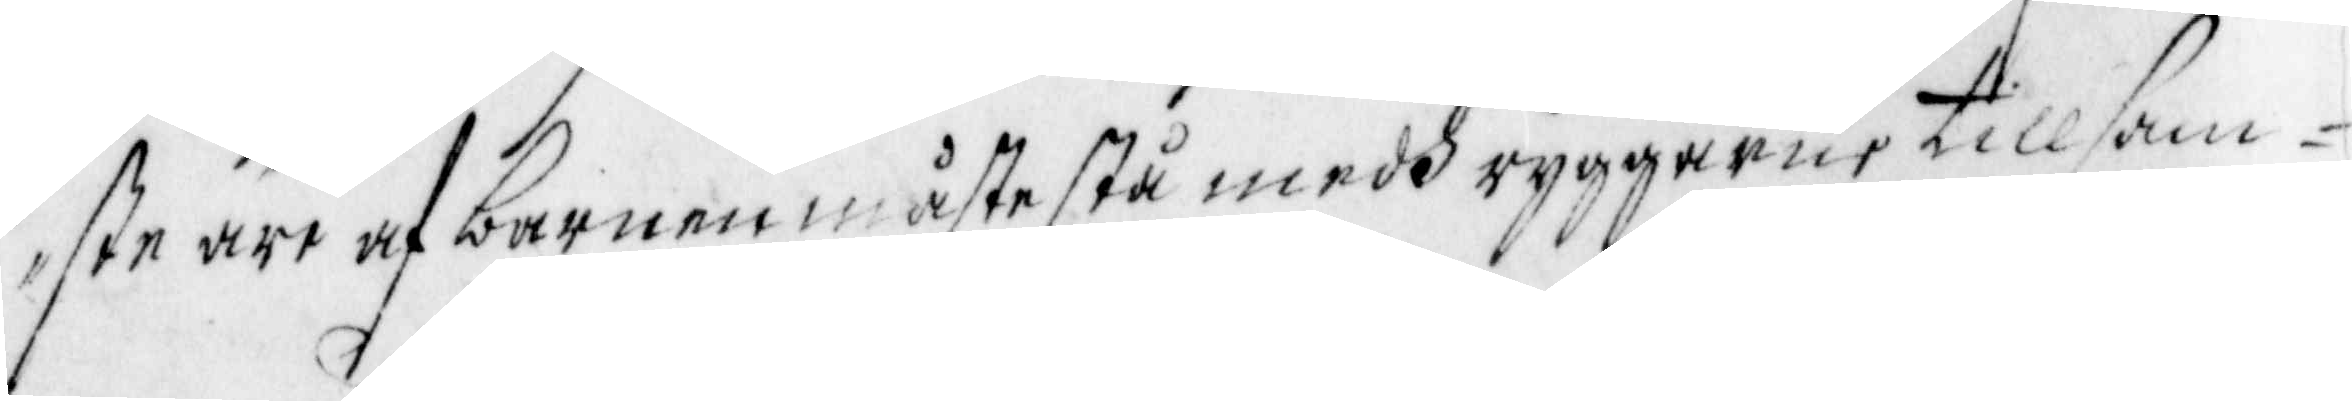ste äre af barnen måste stå medh ryggarne tillsam¬
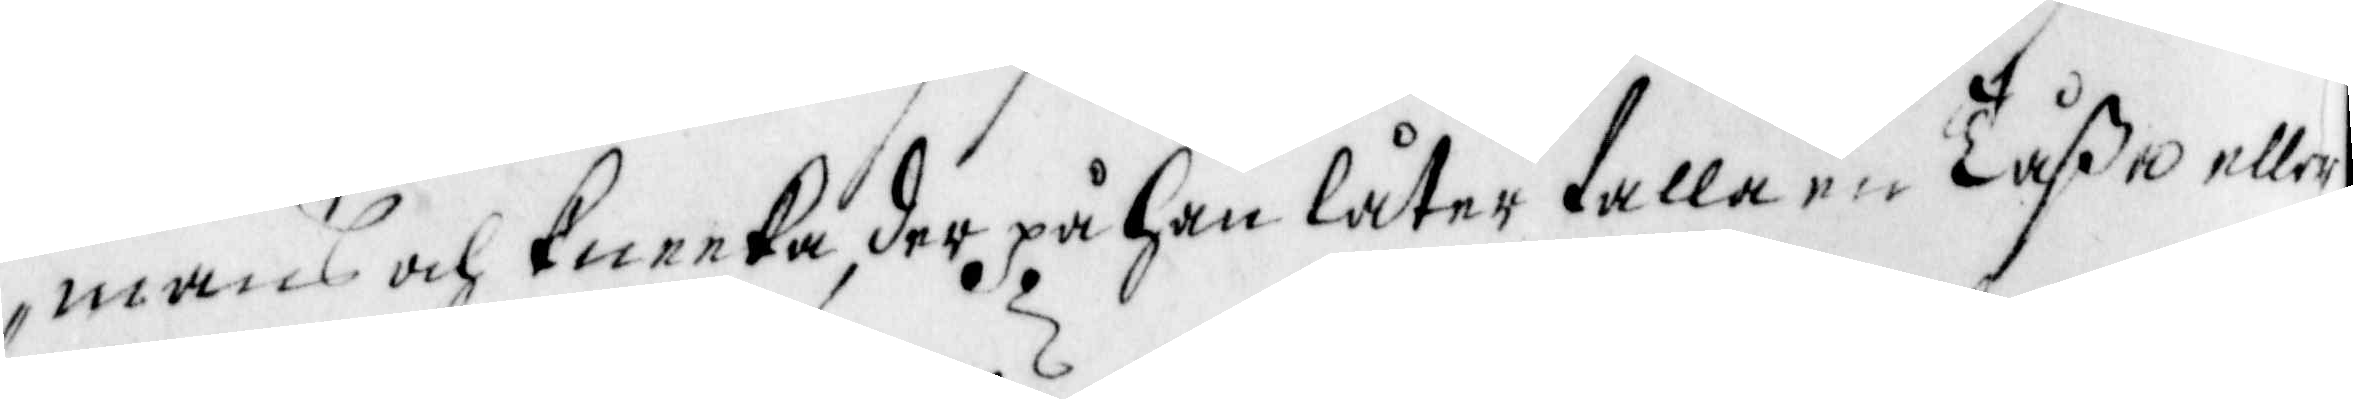mans och Kneeka, der på han låter falla en Tåßa eller
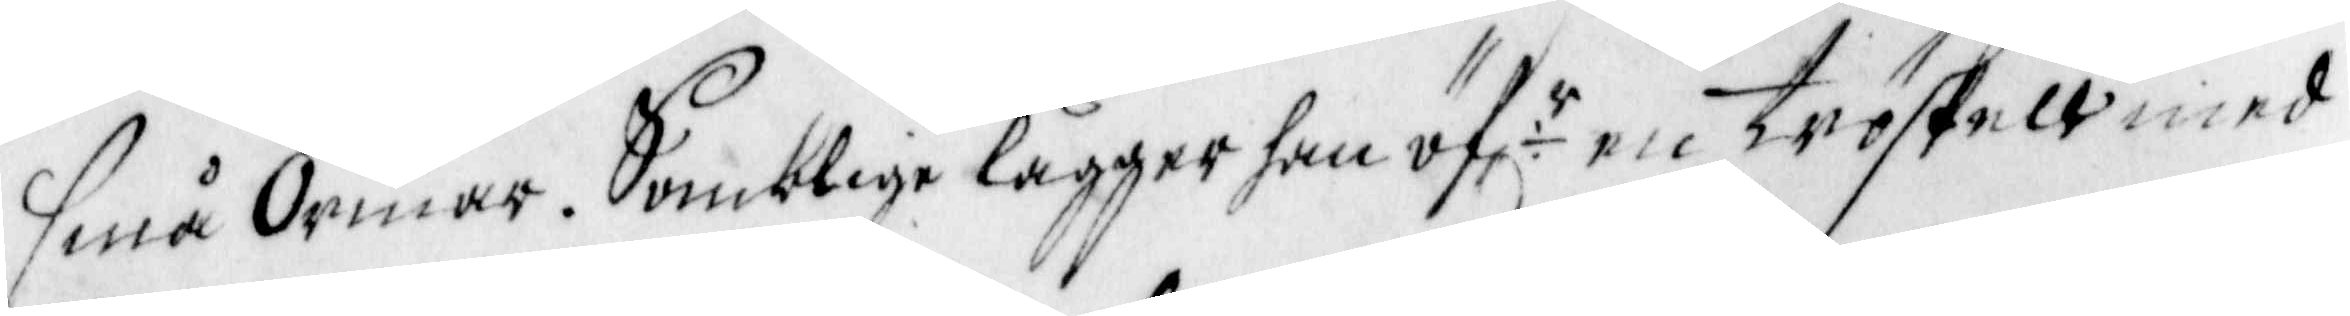Små Ormar. Somblige lägger han öfr en tröskell med
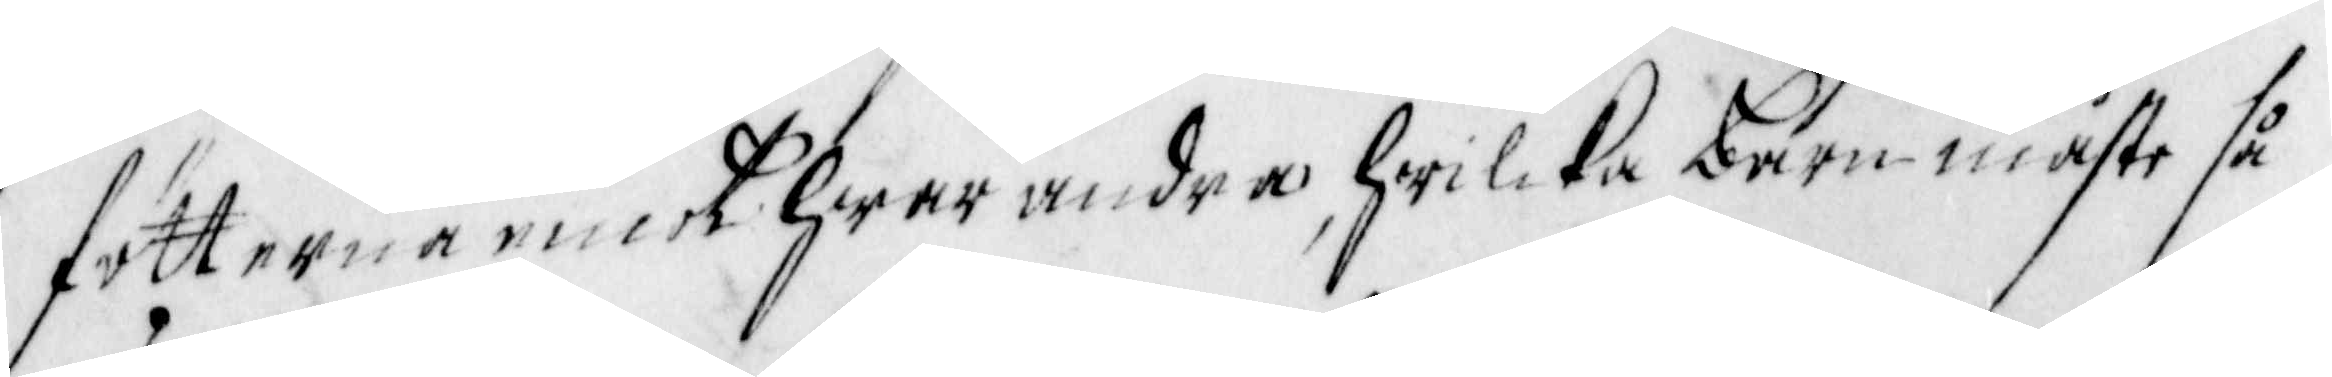fötterna emoth hwar andra, hwilcka barn måste så
